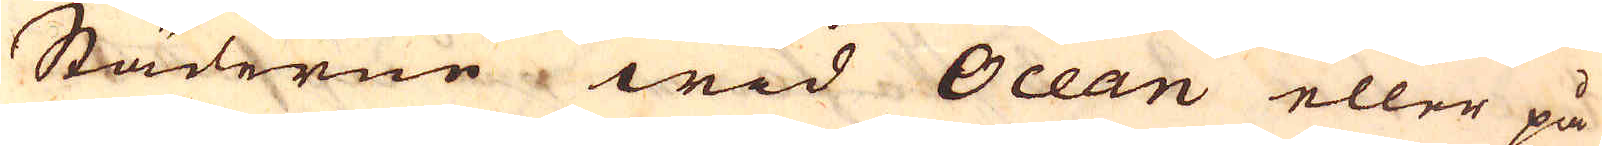Städerne wid Ocean eller på
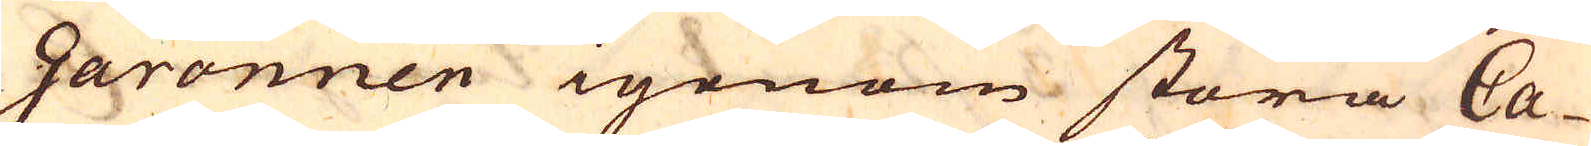Garonnen igenom stora Ca-
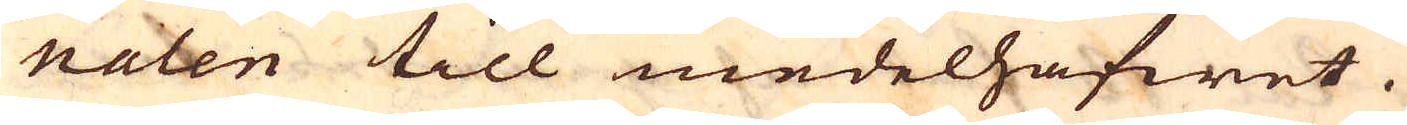naten till medelhafwet.
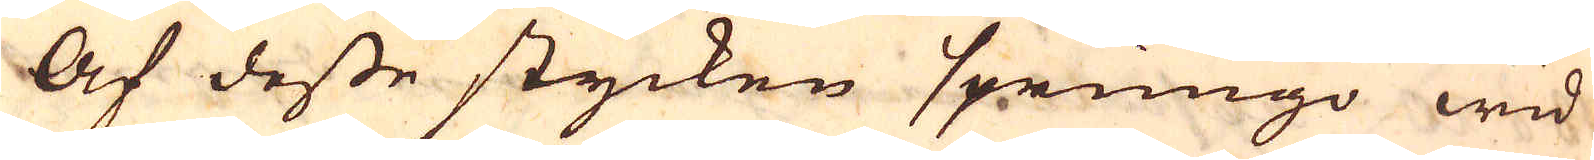Af desse stycken sprungo wid
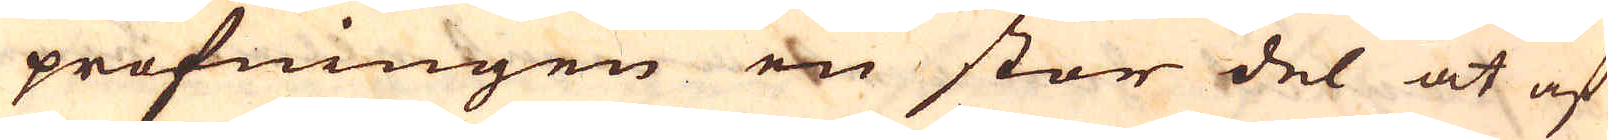profningen en stor del at af
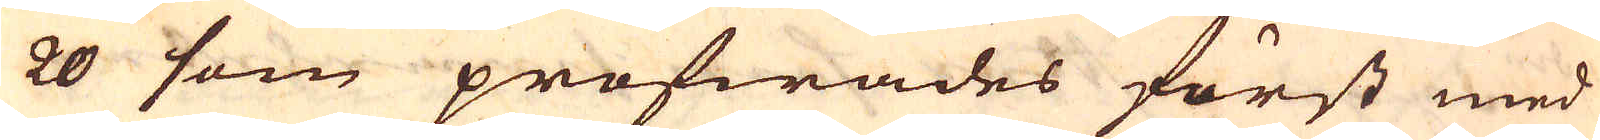20 som profwades först med
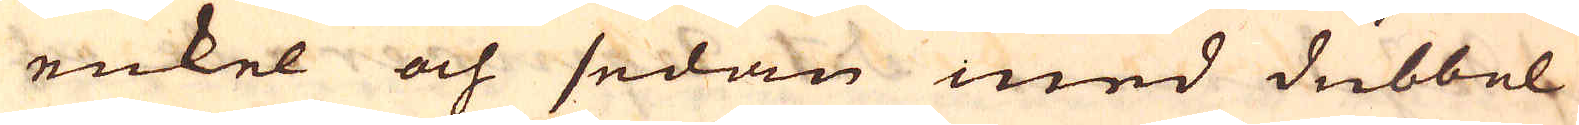enkel och sedan med dubbel-
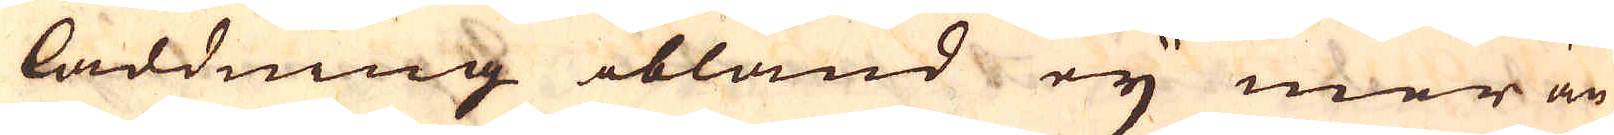laddning ibland eij mer är
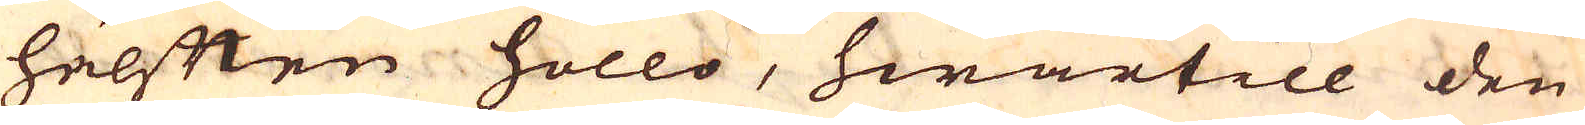hälften höllo, hwartill den
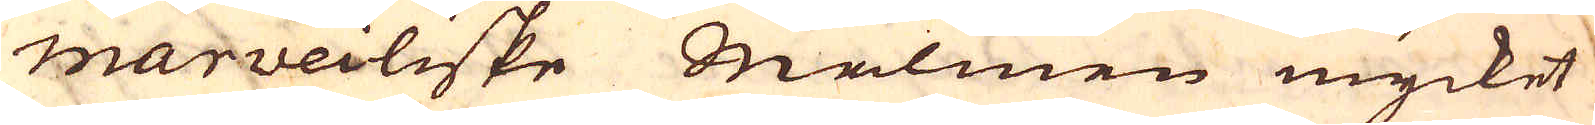marveiliske Malmen mycket
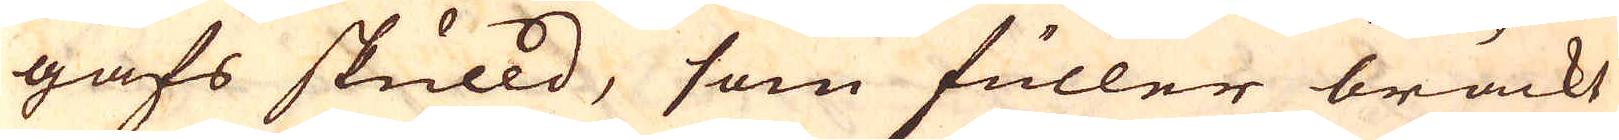gafs skulld, som fuller bräckt
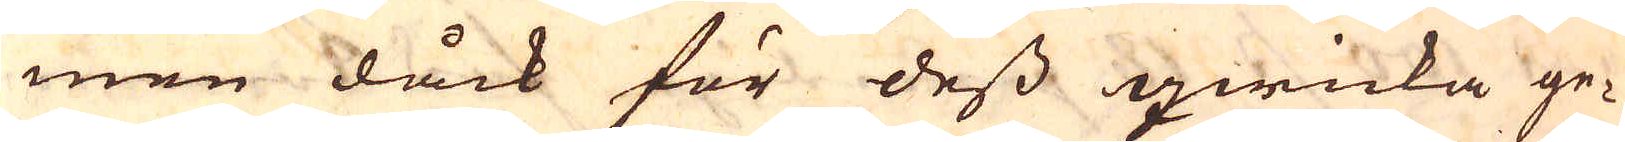men dåck för dess qwicka ge-
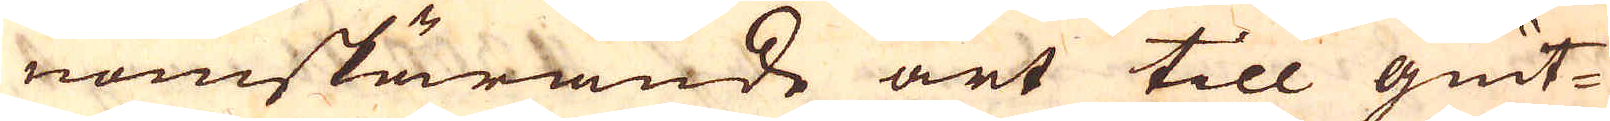nomskärande art till giut-
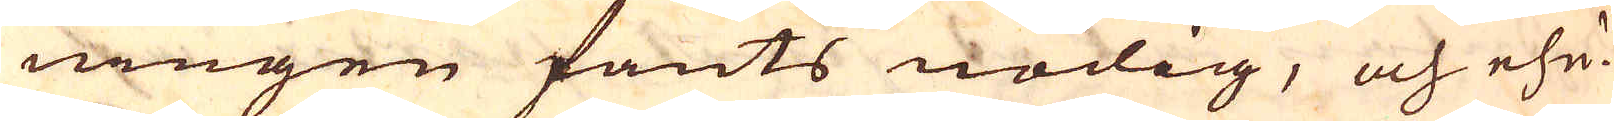ningen fants nödig, och ehu-
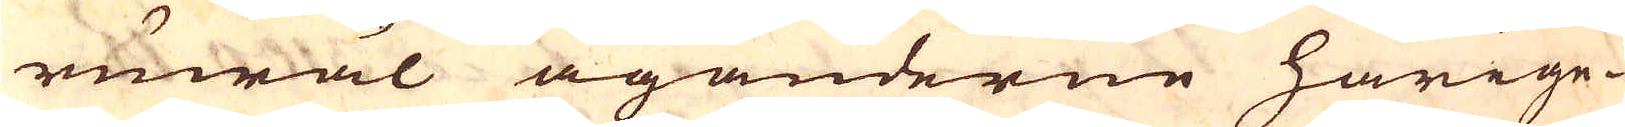ruwäl äganderne härige-
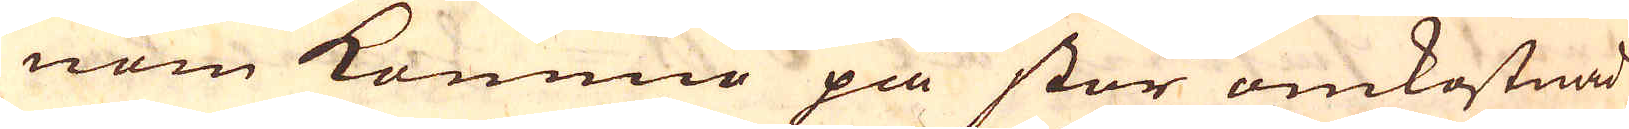nom kommo på stor omkostnad
